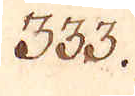333.
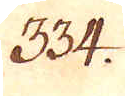334.
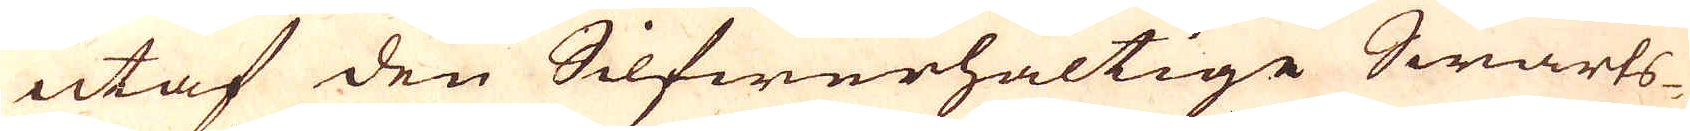utaf den Silfwerhaltige Swarts-
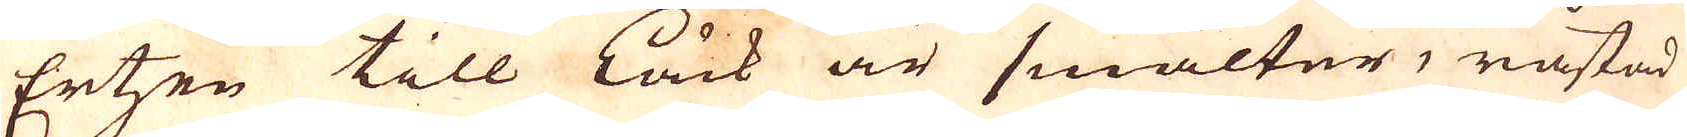Ertzen till Låck är smälter, råstad
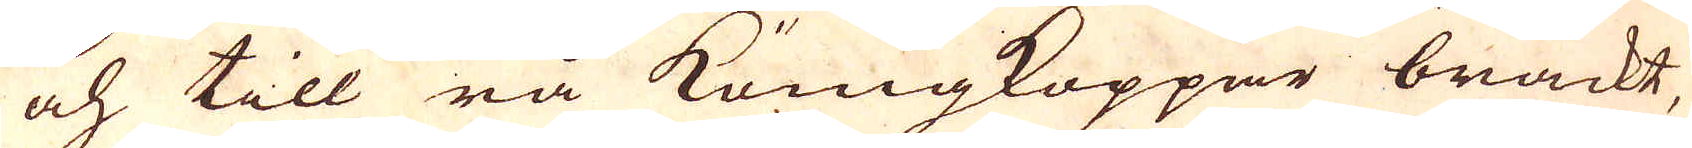och till rå Königkoppar brackt,
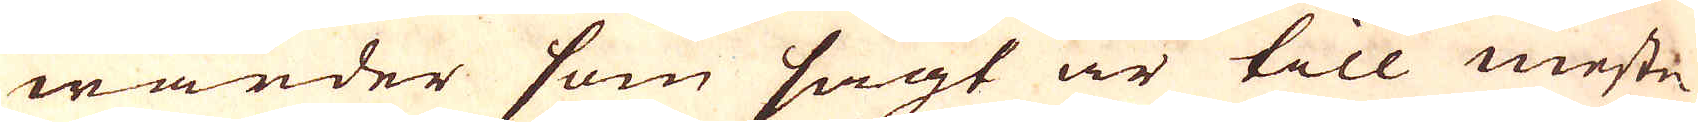warder som sagt är till Meste-
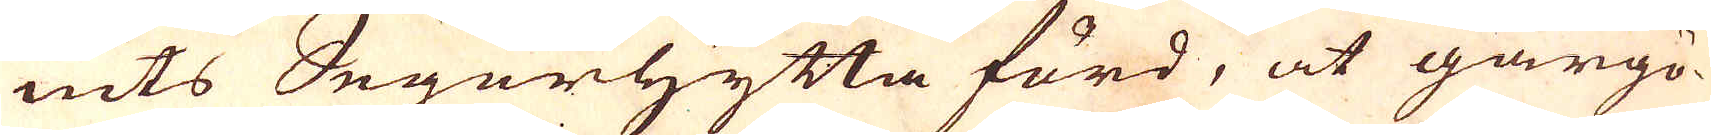nits Segerhytta förd, at gårgö-
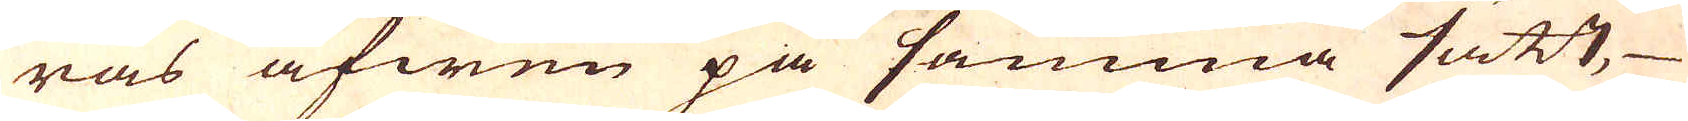ras äfwen på samma sätt,
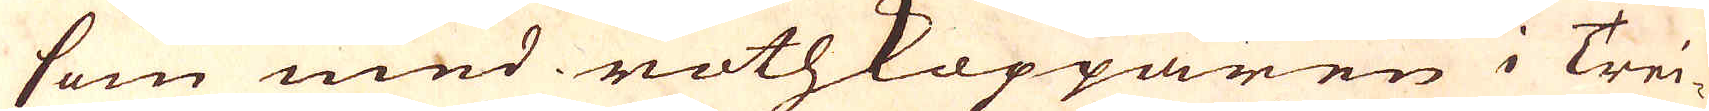som med rothkopparen i Trei-
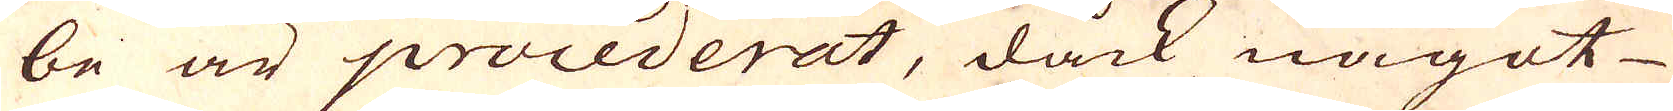be är procederat, dåck något
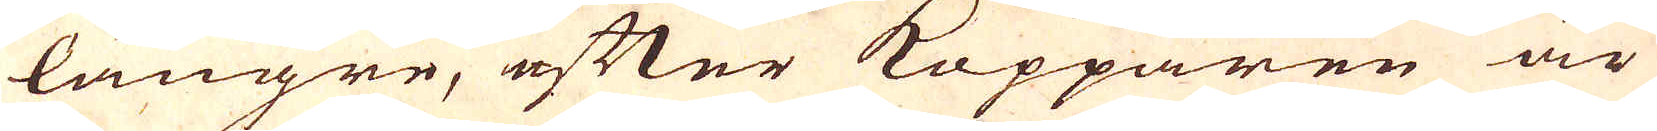längre, efter Kopparen är
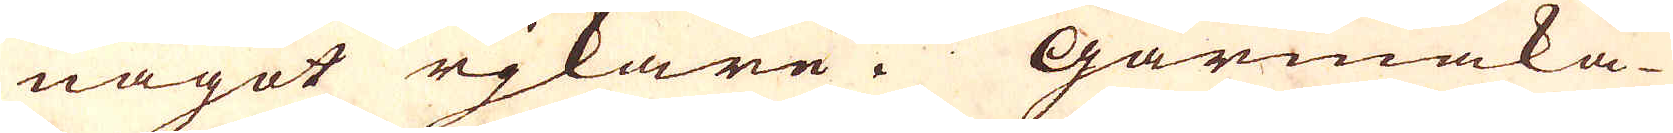något rjkare. Gårmaka-
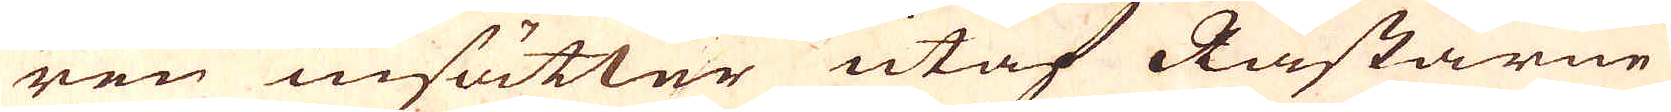ren insätter utaf Råstarne
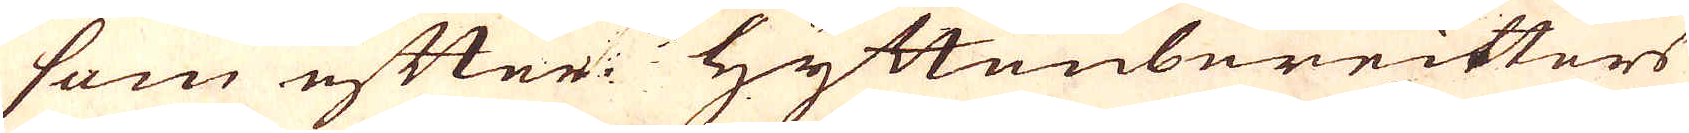som efter Hyttenbereiters
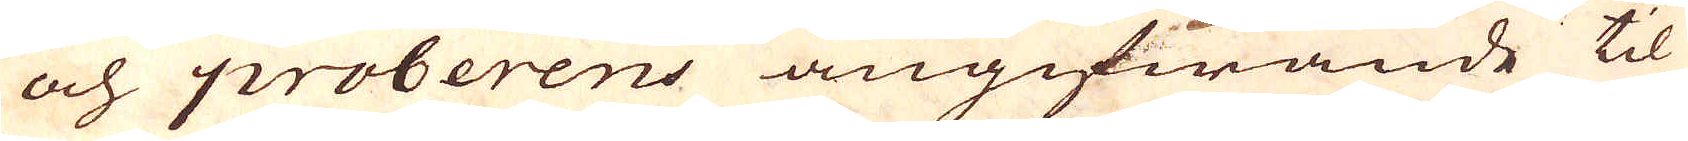och proberens angifwande til
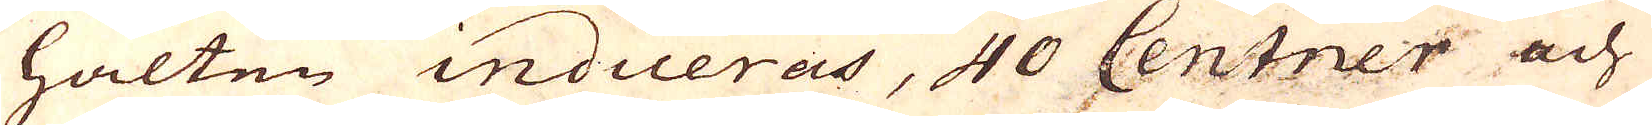halten indiceras, 40 Centner och
